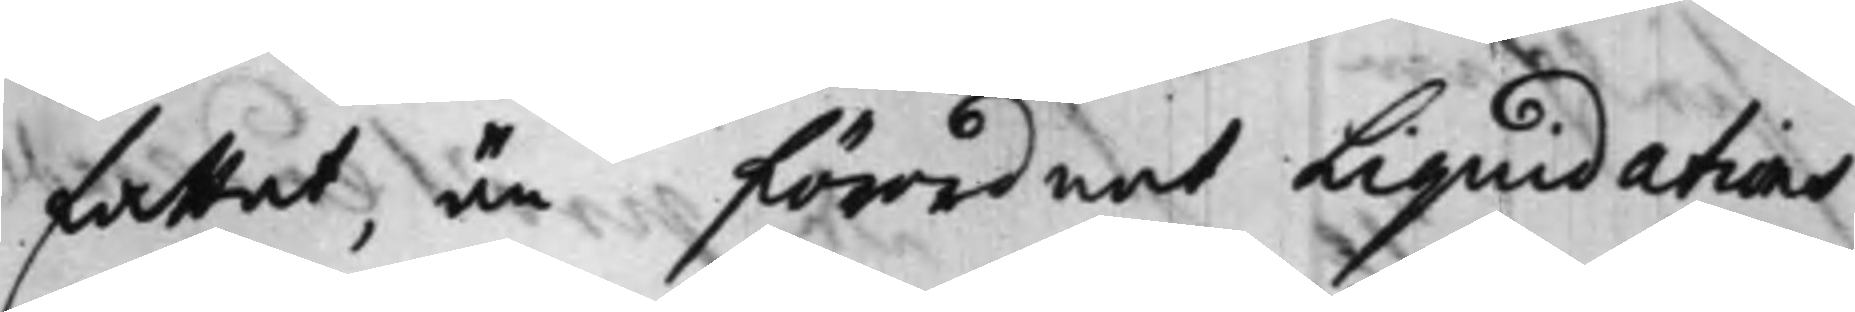fattat, än förordnat Liquidations
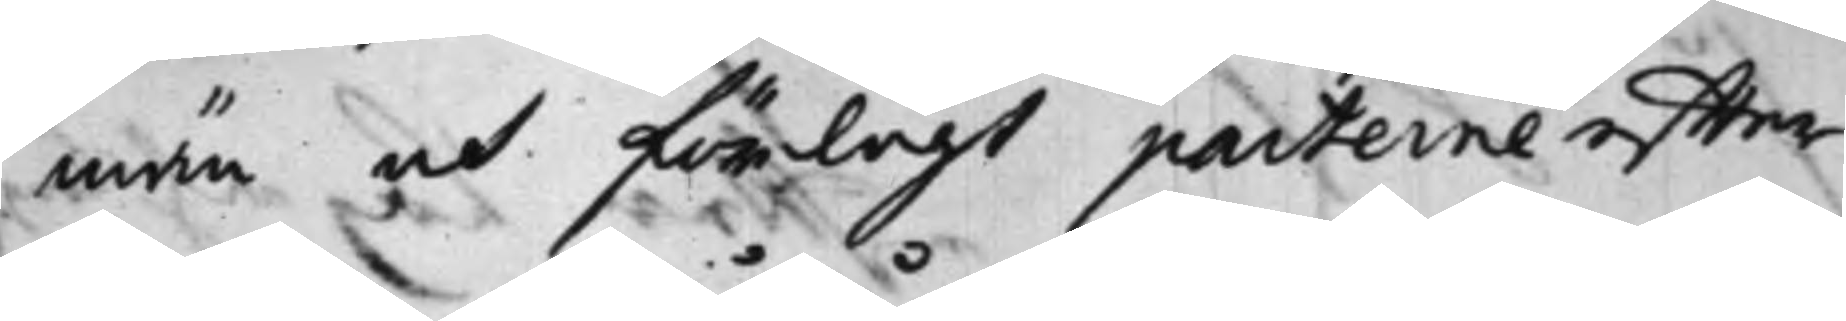män och förelagt parterne effter
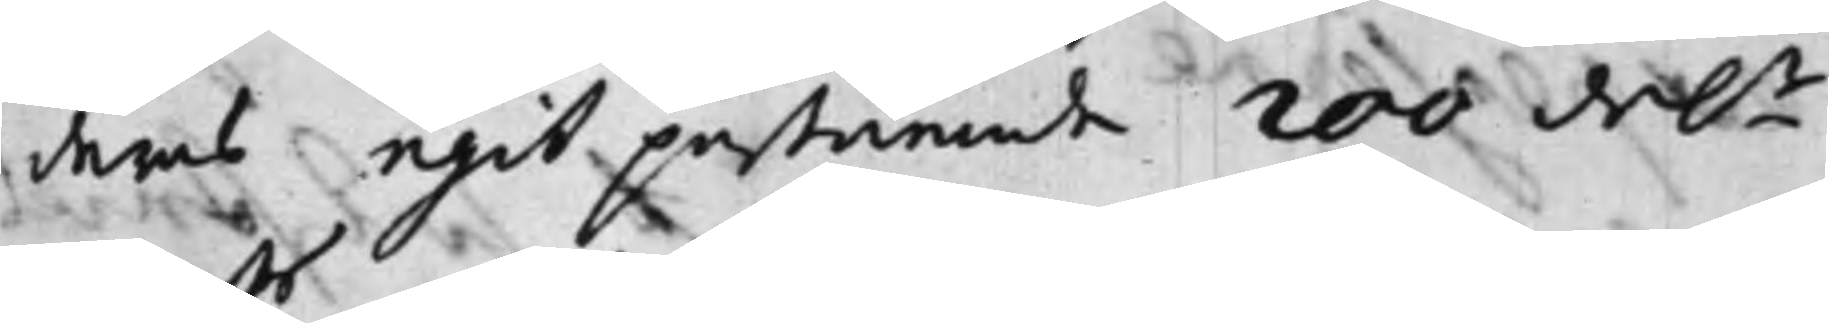deras egit påstående 200 dal.r
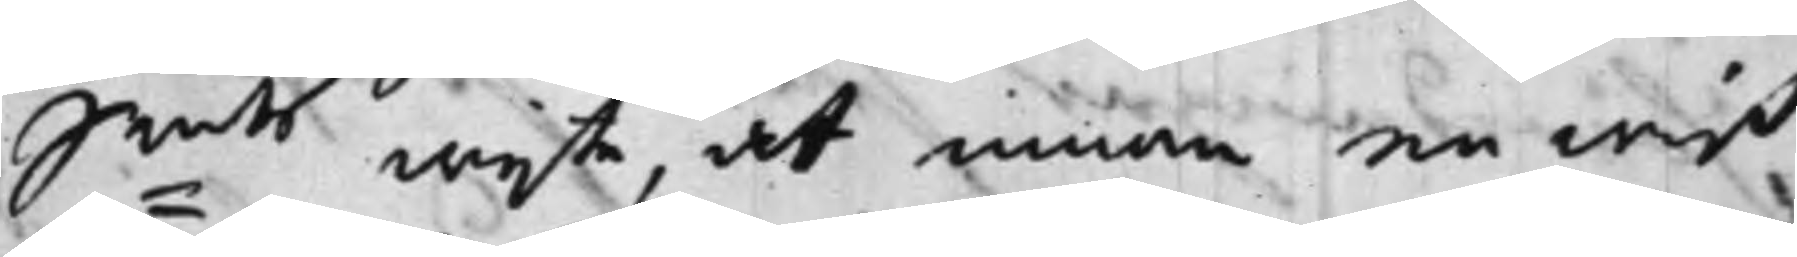S:mts wijte, at innom en wiß
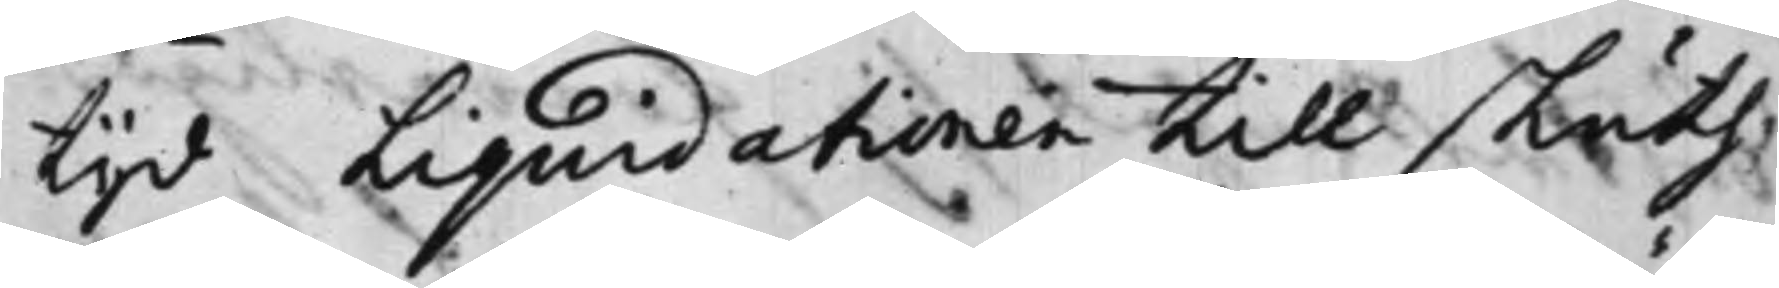tijd Liquidationen till sluth
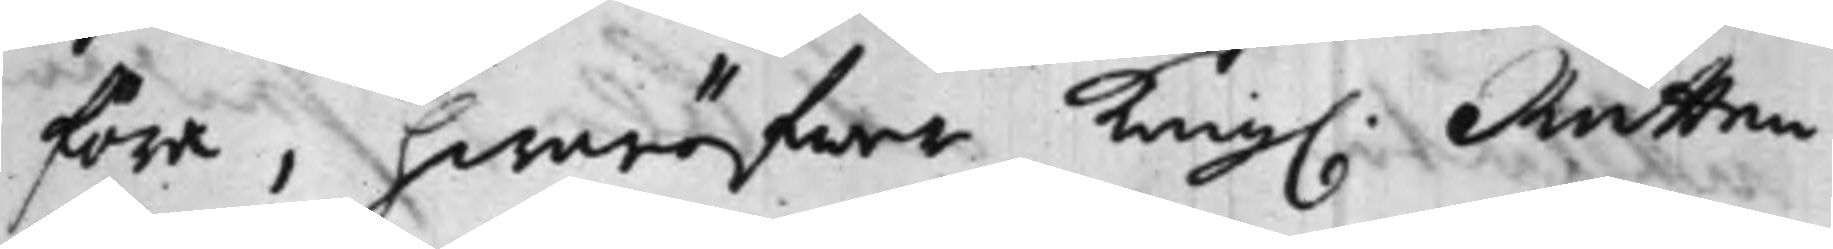föra, hwaröfwer Kong. Rätten
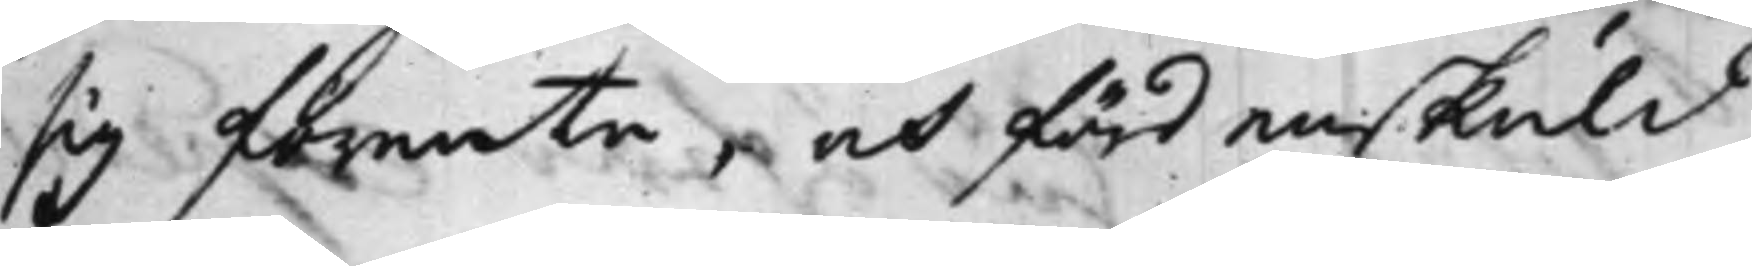sig förente, och fördenskuld
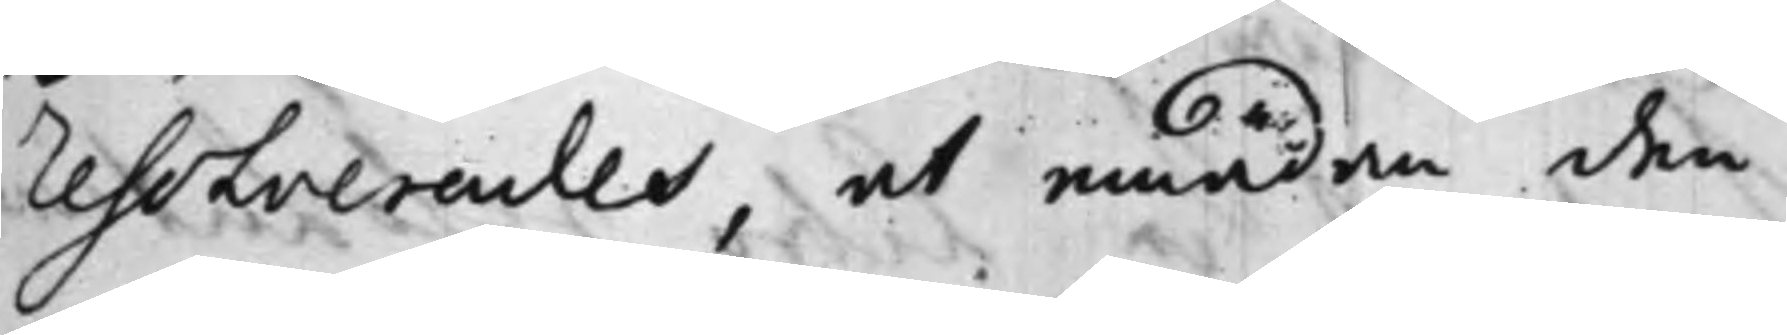Resolverades, at emedan den
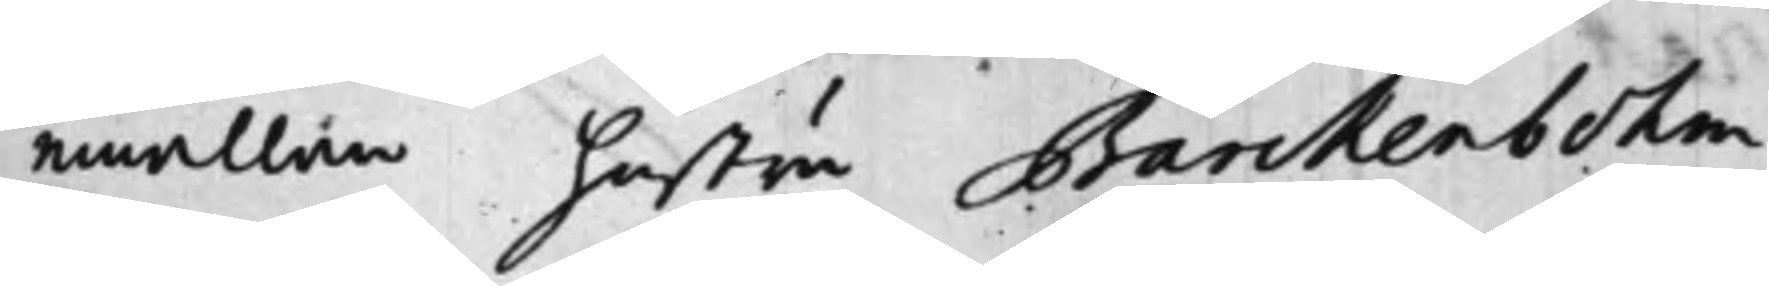emällan hustru Barckenbohm
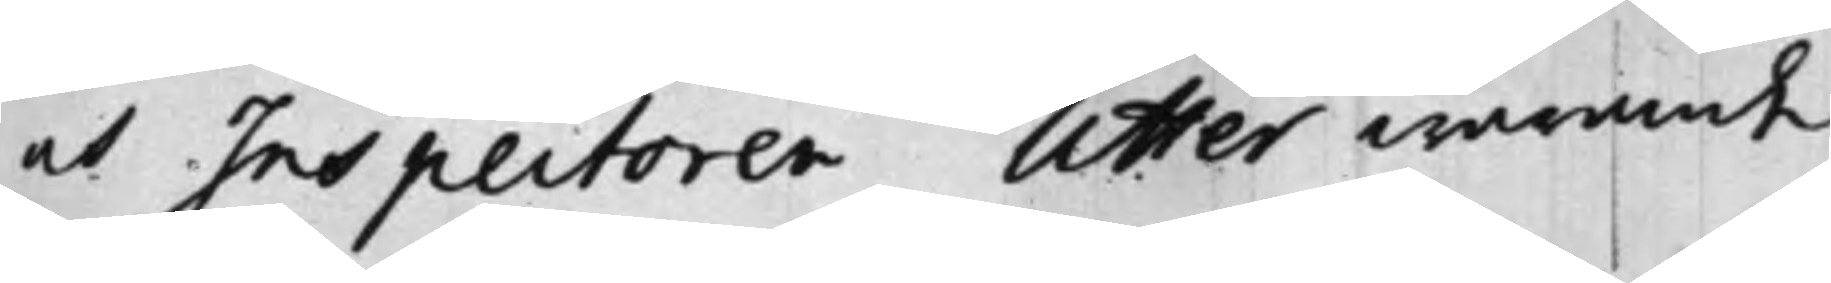och Inspectoren Utter warande
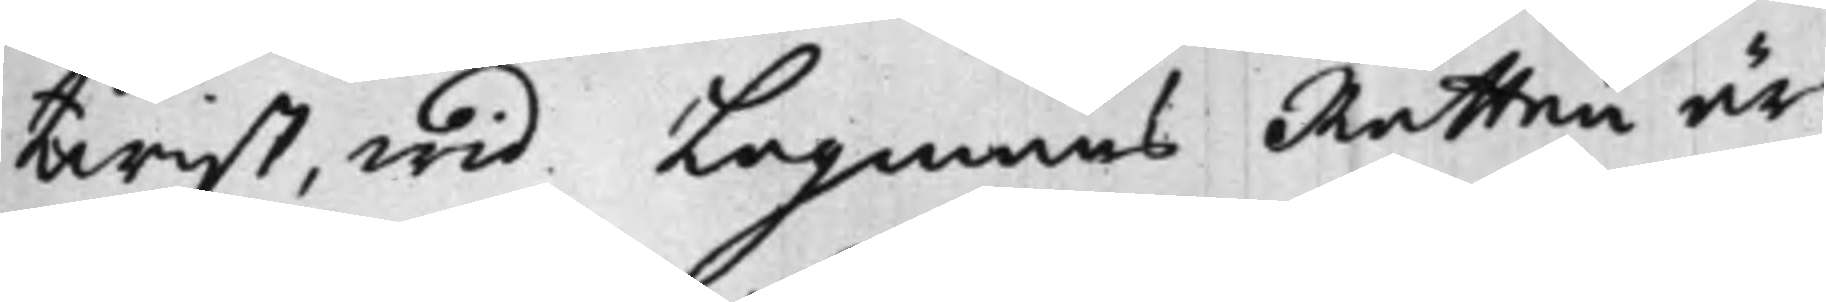twist, wid Lagmans Rätten är
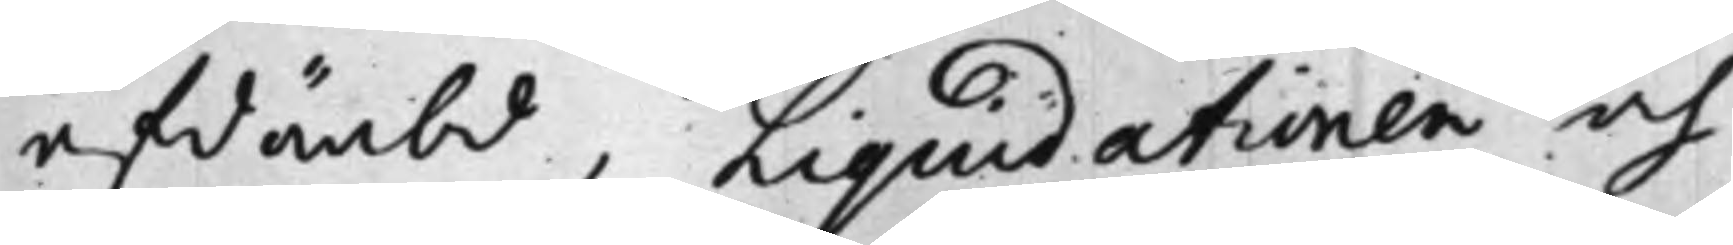afdömbd, Liquidationen och
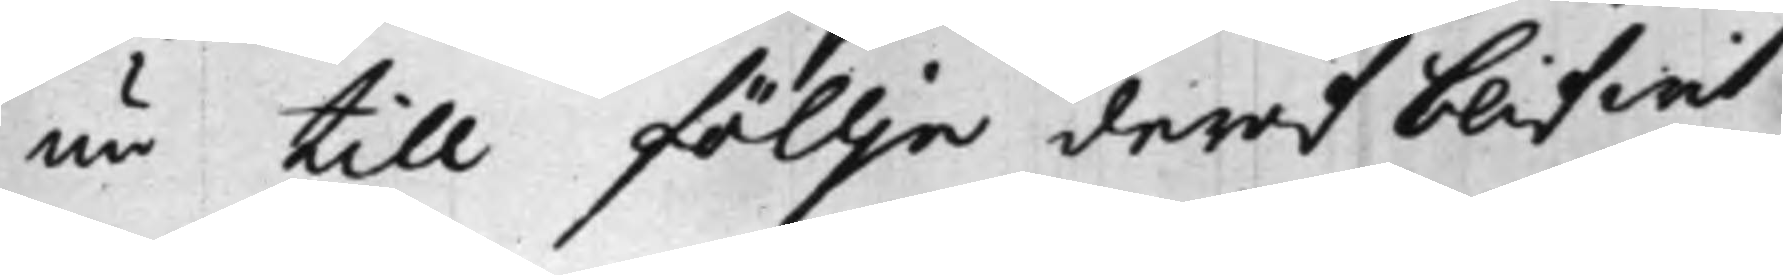nu till föllje deraf blifwit
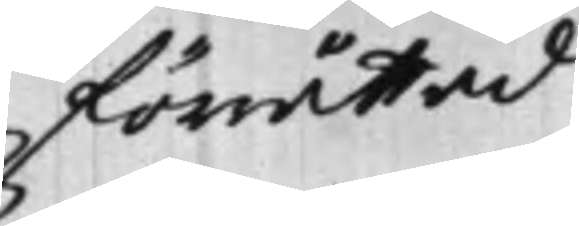förrättad
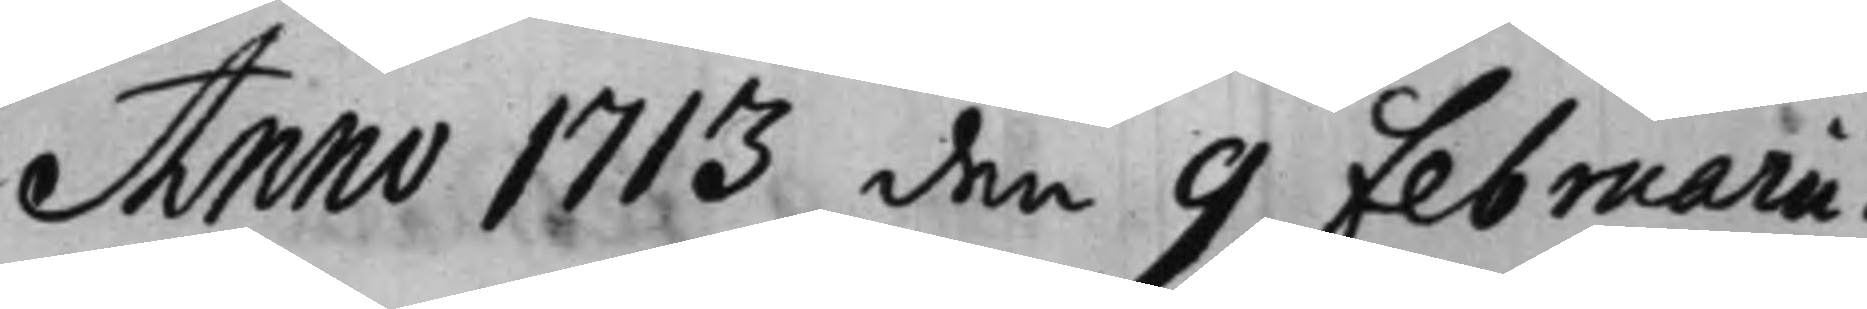Anno 1713 den 9 Februarii.
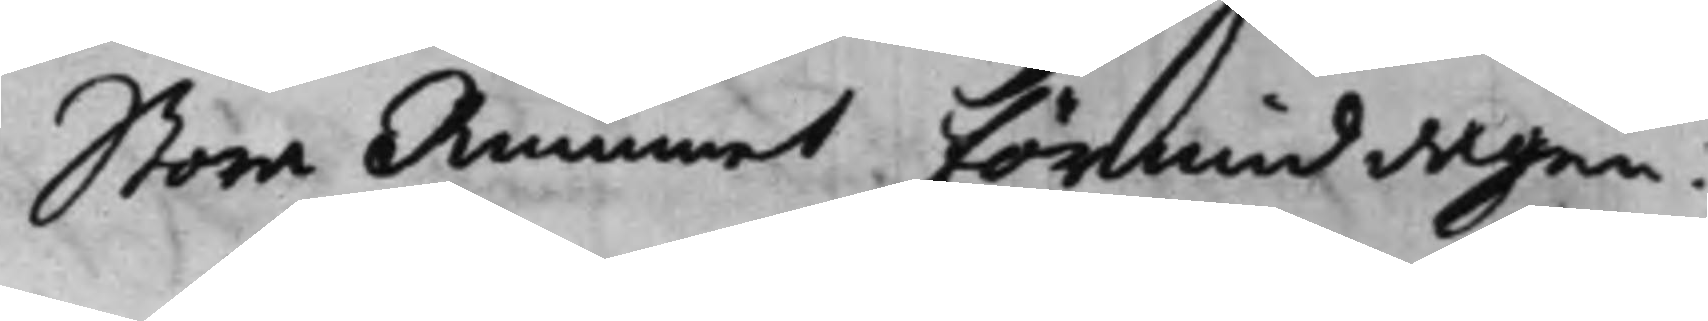Stora Rummet förmiddagen.
